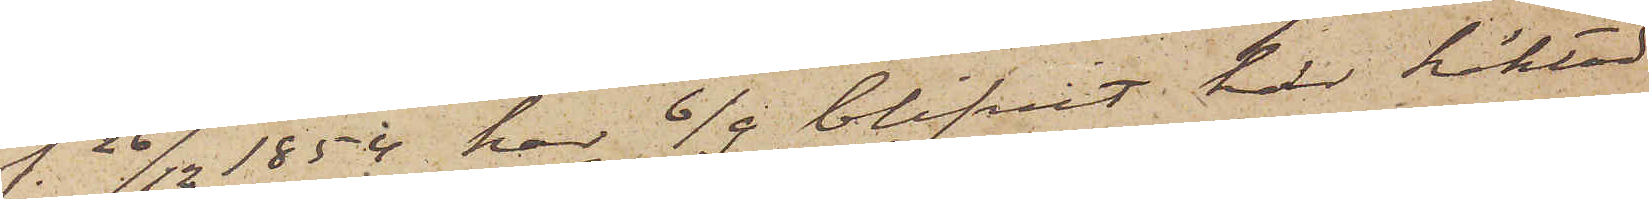f. 26/12 1854 har 6/9 blifvit här häktad
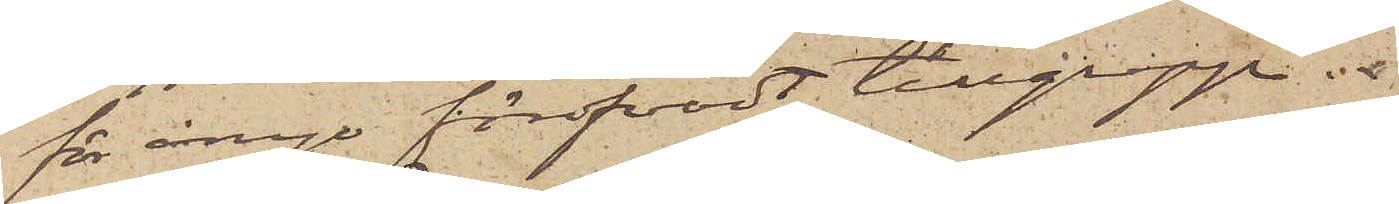för ånyo föröfvadt tillgrepp.
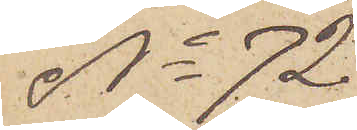No 72
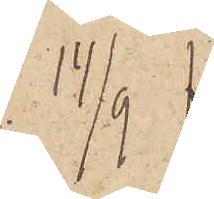14/9
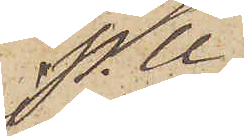P.U
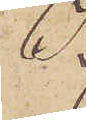I
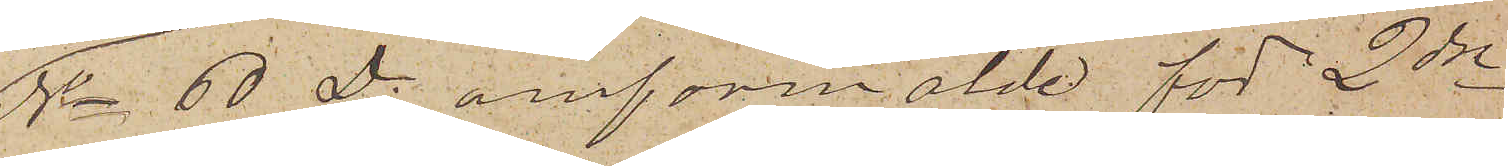No 60 D. omförmälde för 2dre
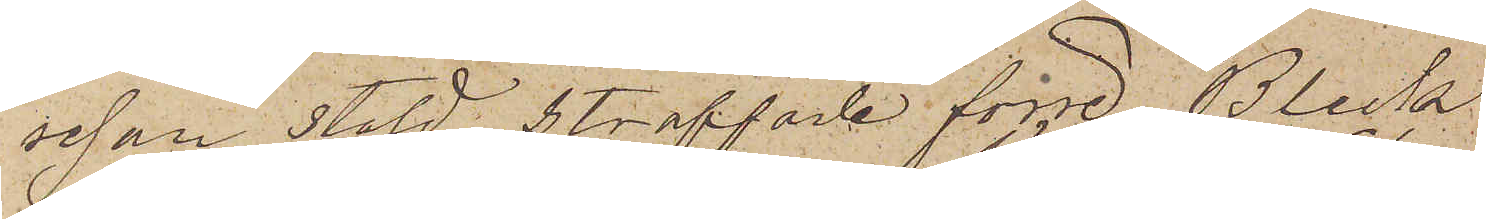resan stöld straffade förre Bleck¬
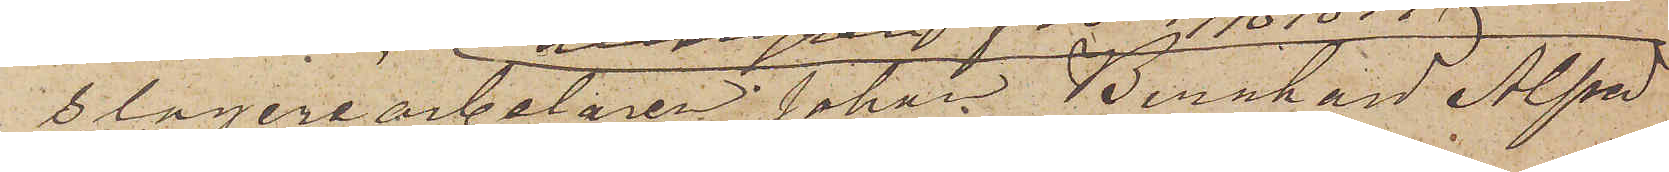slageriarbetaren Johan Bernhard Alfred
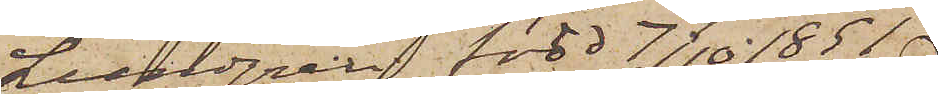Lundgren född 7/10 1851
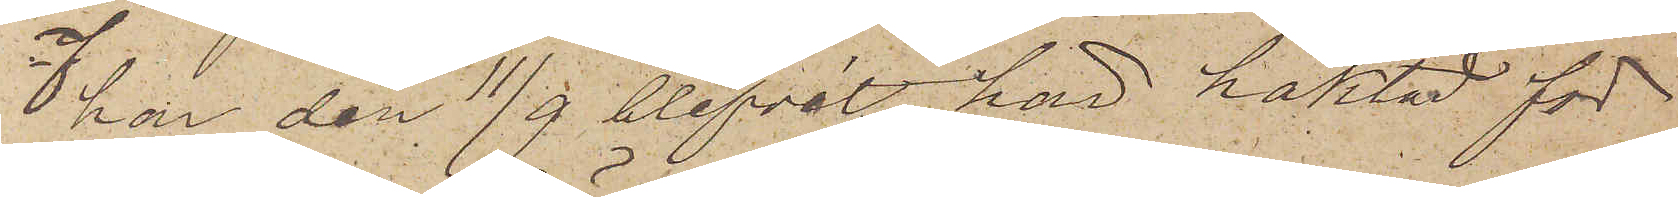har den 11/9 blifvit här häktad för
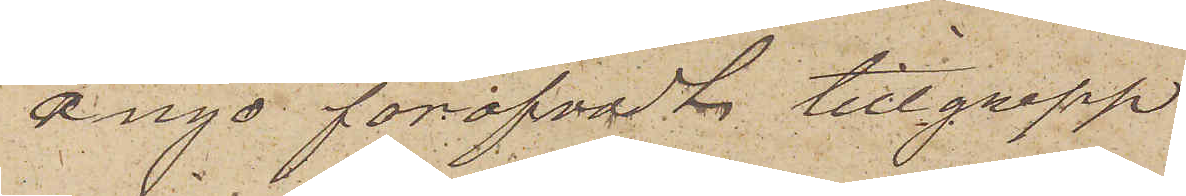ånyo föröfvadt tillgrepp
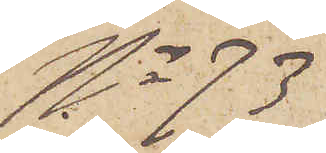No 73
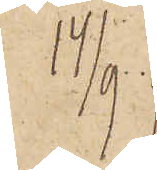14/9
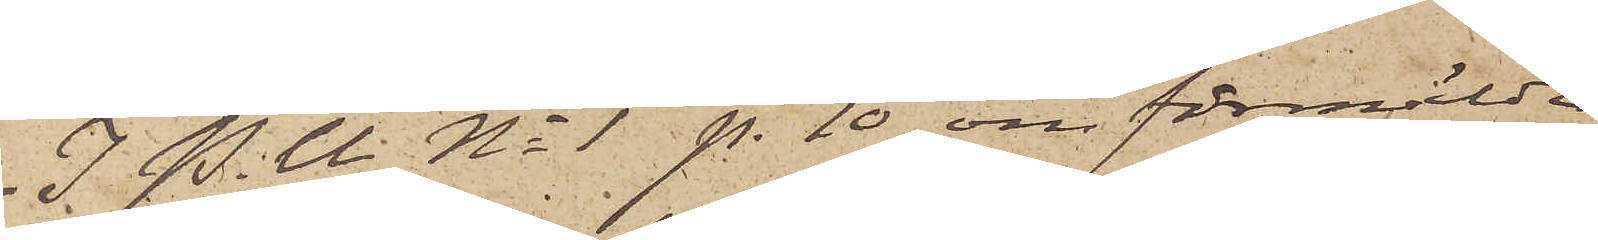I. P. U No 1 p. 10 omförmälde
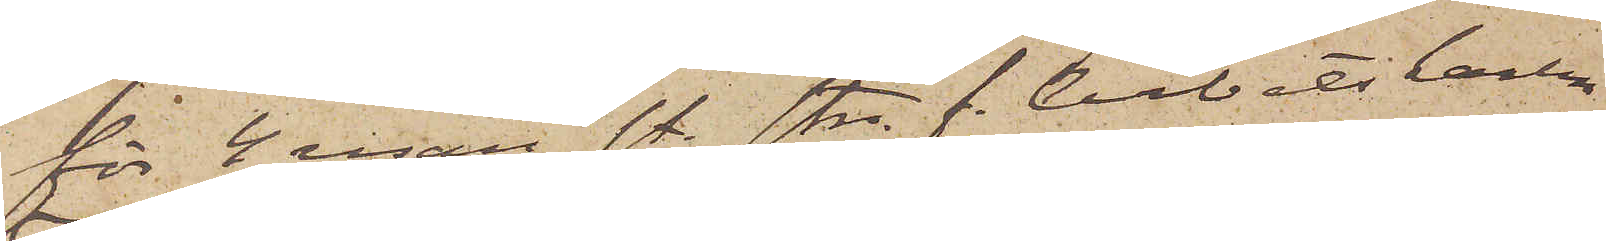för 4 resan st. str. f. Arbetskarlen
